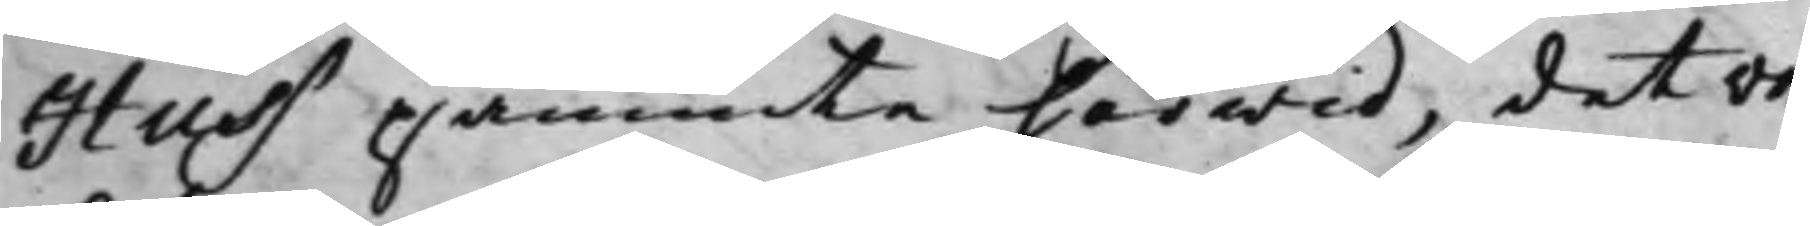Huss påminte härwid, det von
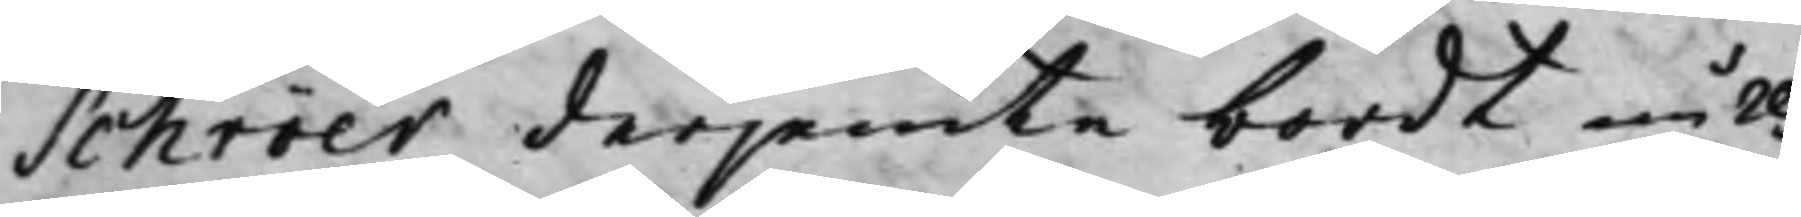Schröer derjemte bordt null¬
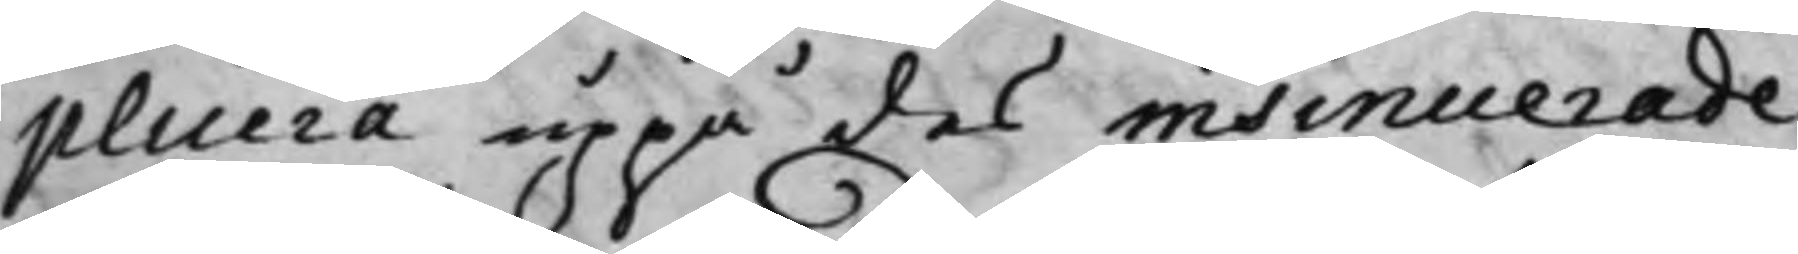plicera uppå des insinuerade
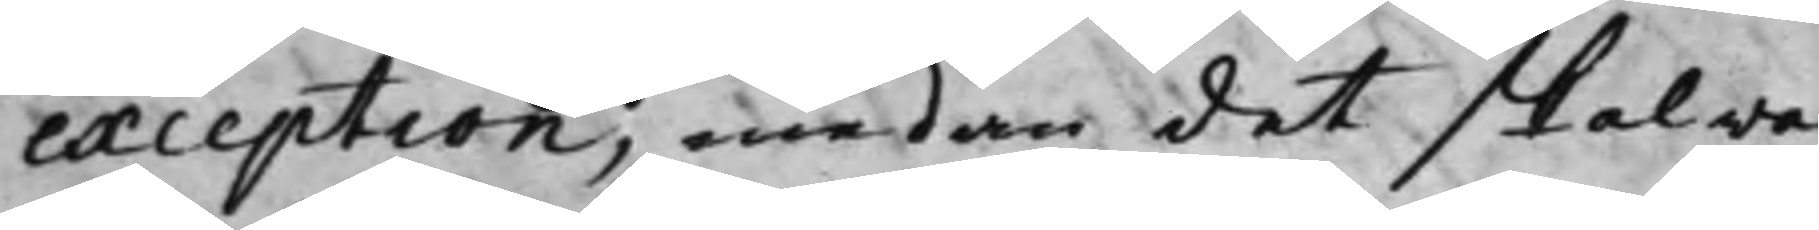exception, medan det skal wa¬
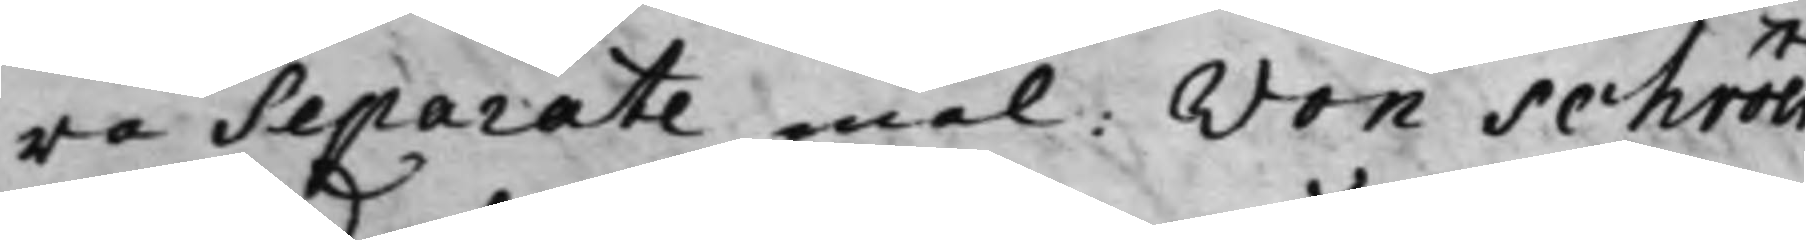ra Separate mål: von Schröer
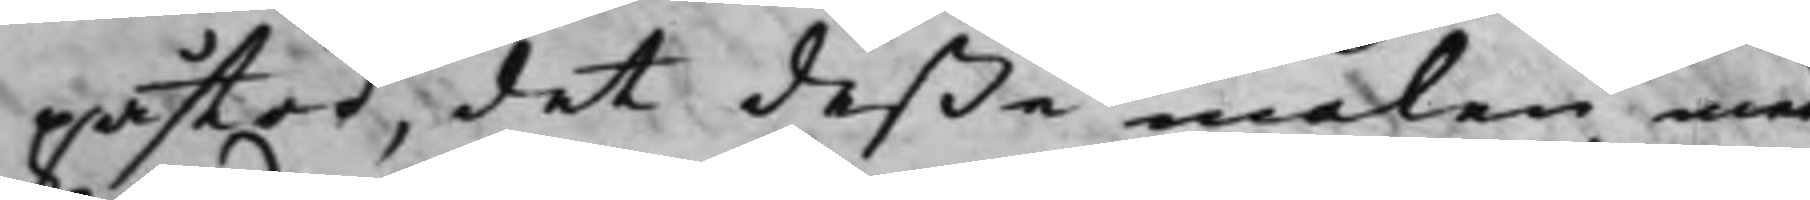påstod, det deße målen med
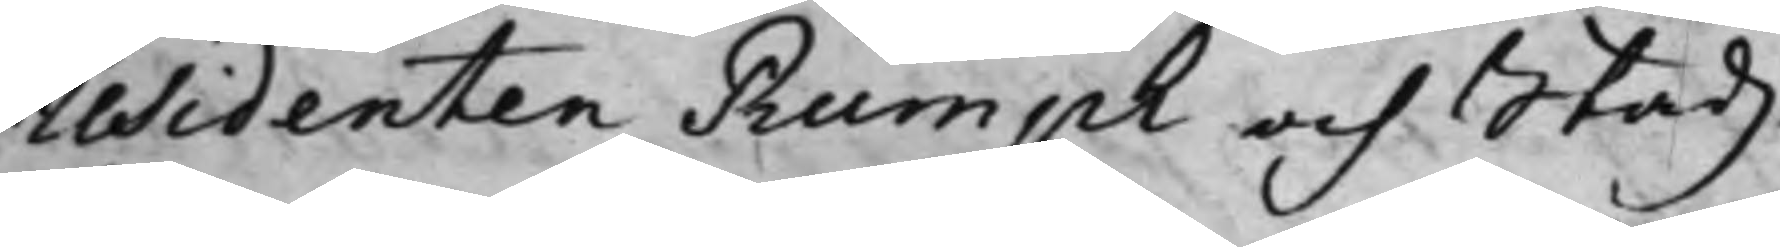Residenten Rumph och Stadz¬
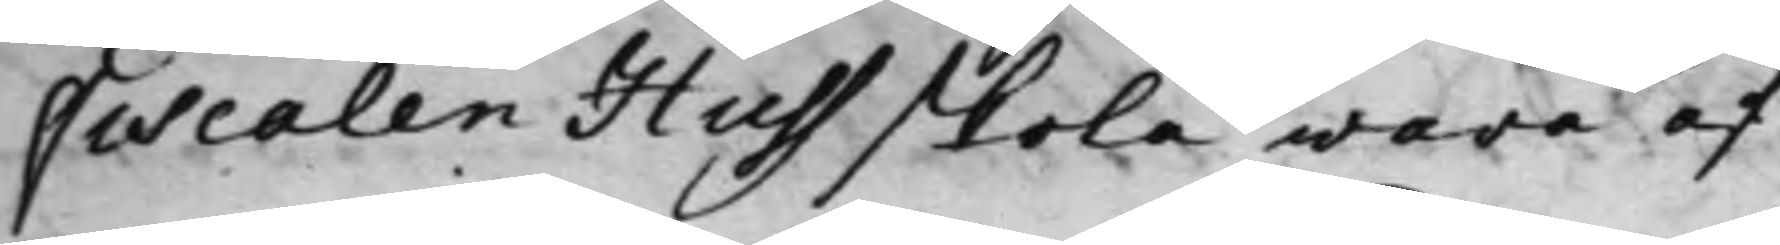Fiscalen Huss skola wara af
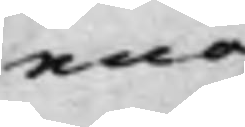ena¬
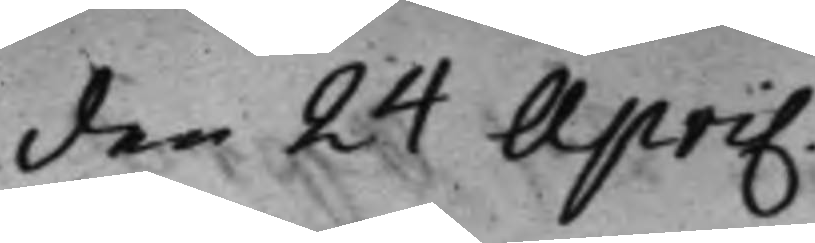den 24 April.
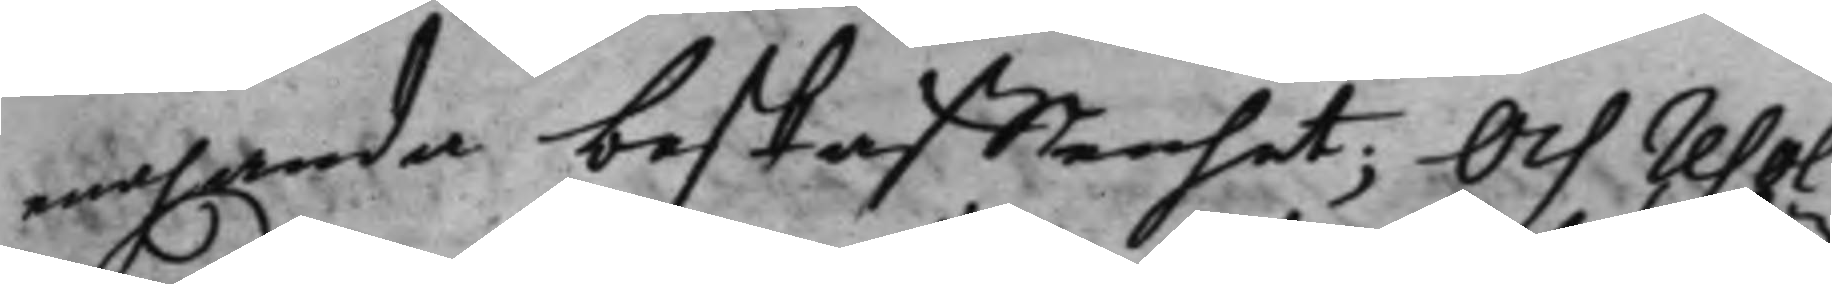enahanda beskaffenhet; Och resol¬
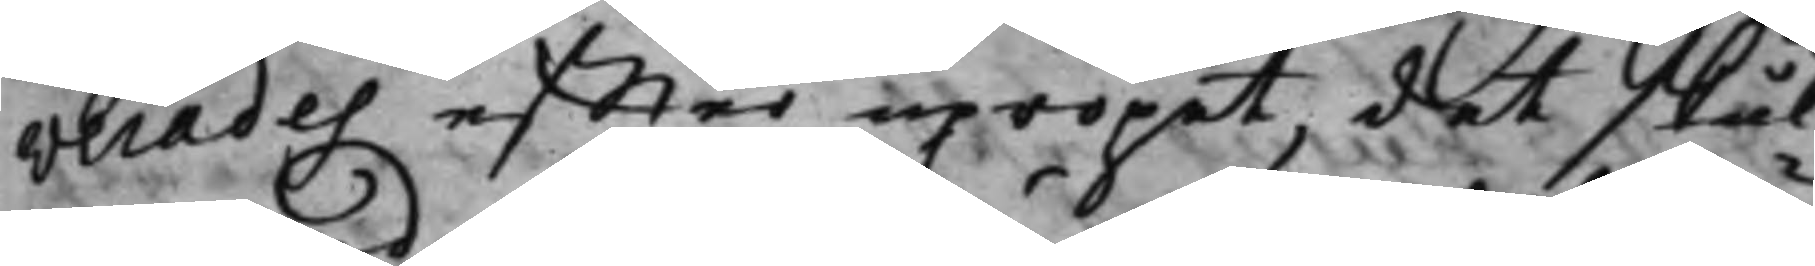verades effter upropet, det skul¬
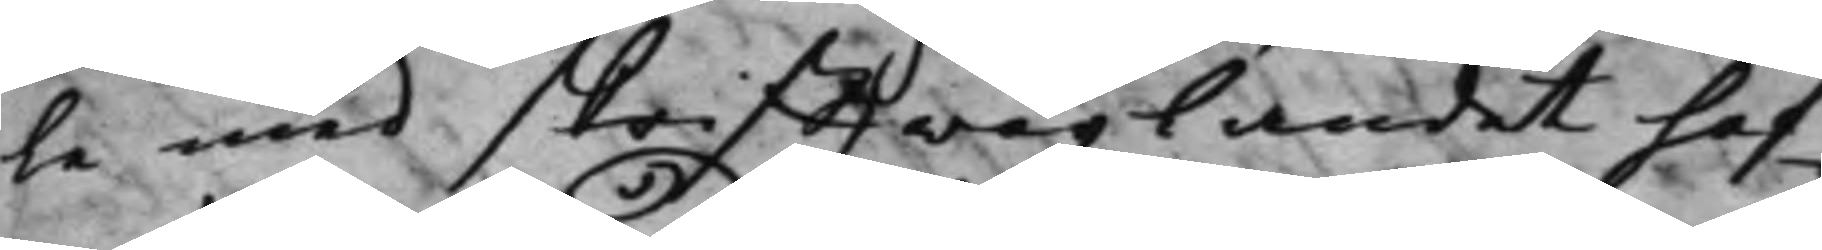le med skrifftwäxlandet haf¬
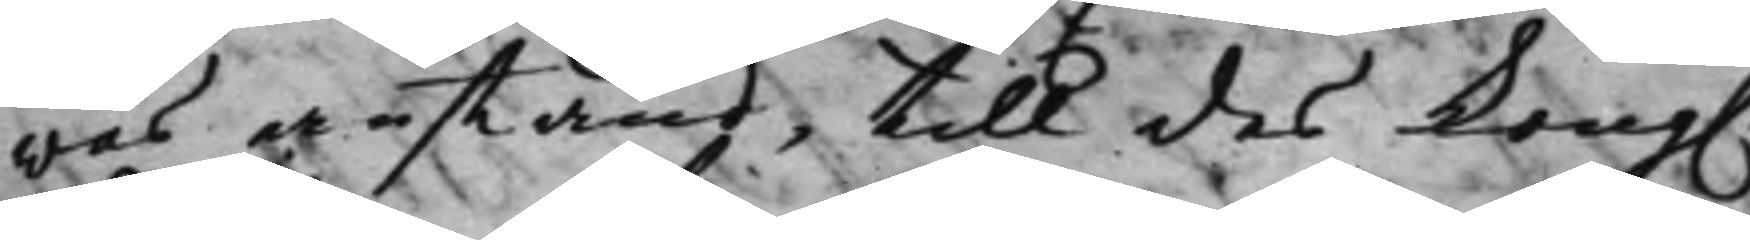was anstånd, till des Kong. 
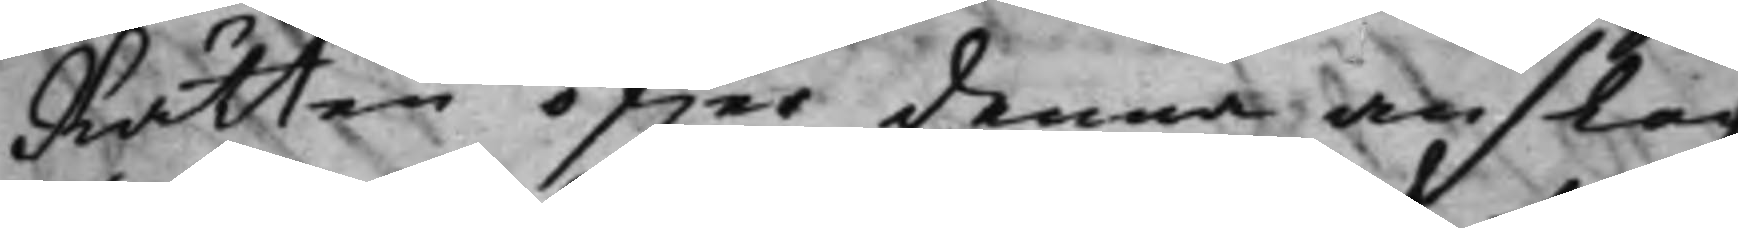Rätten öfwer denna anslagz
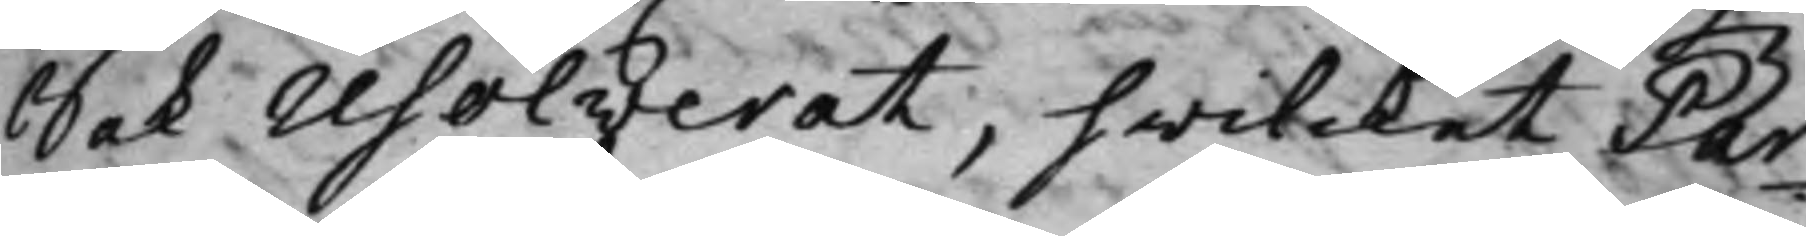Sak resolverat, hwilcket Par¬
